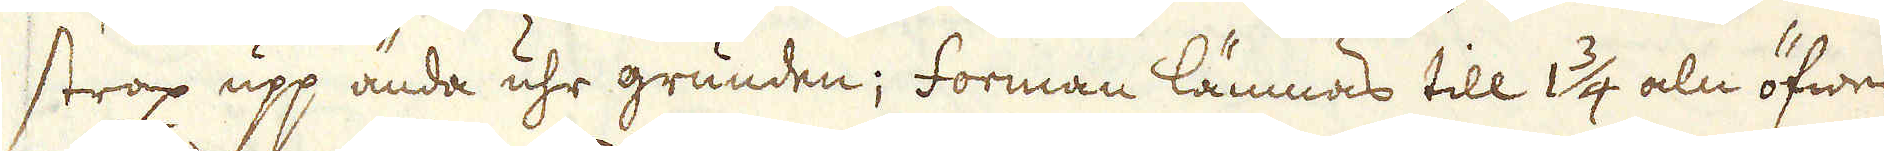strax upp ända uhr grunden; forman lämnas till 1 3/4 aln öfwer
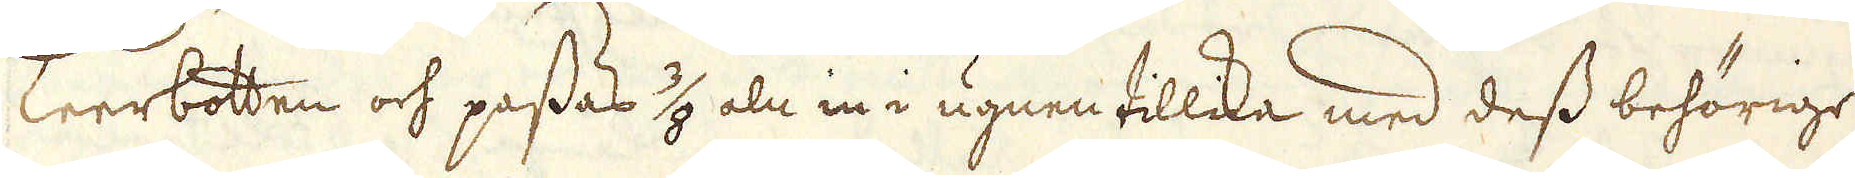Leerbotten och passas 3/8 aln in i ugnen tillika med dess behörige
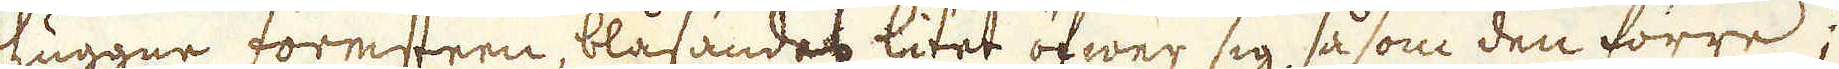huggne formsteen, blåsandet litet sig, så som den förra;
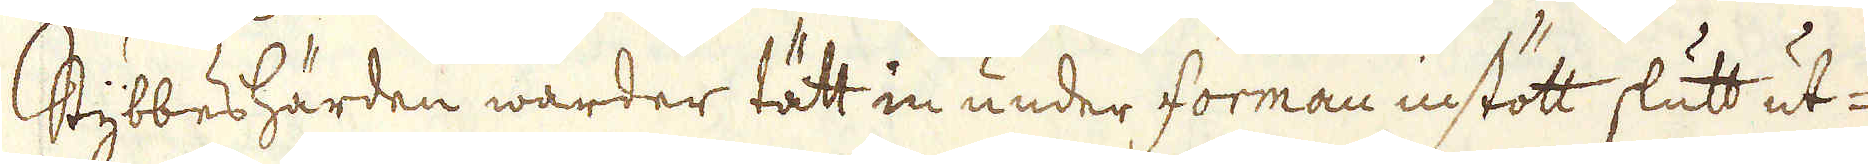Stybbeshärden warder tätt in under forman instött slutt ut-
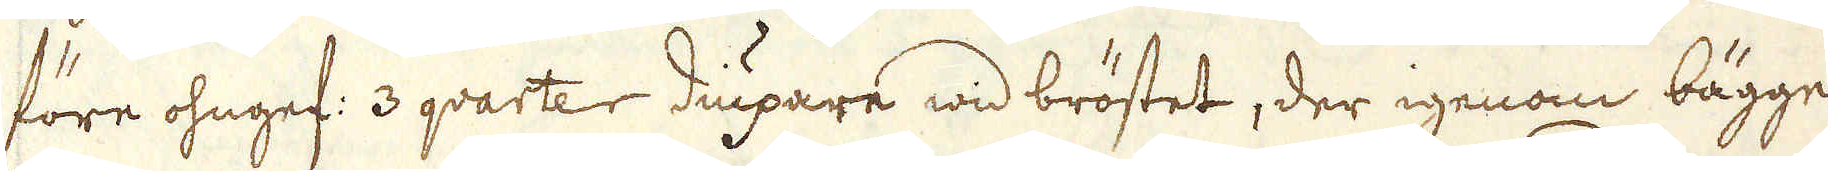före ohngef: 3 qvarter diupare wid bröstet, der igenom bägge
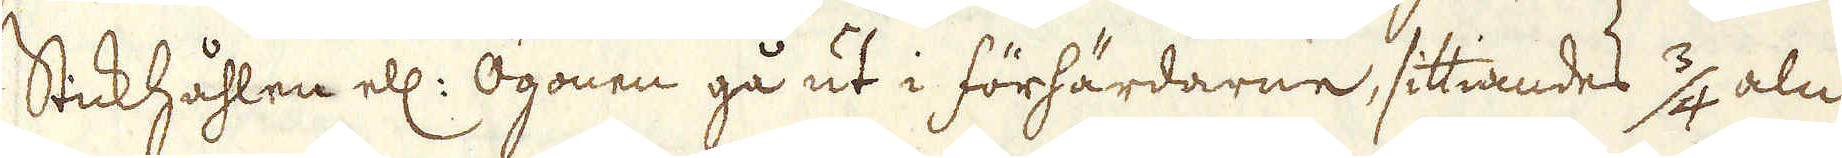Stickhåhlen ell: Ögonen gå ut i förhärdarne, sittiandes 3/4 aln
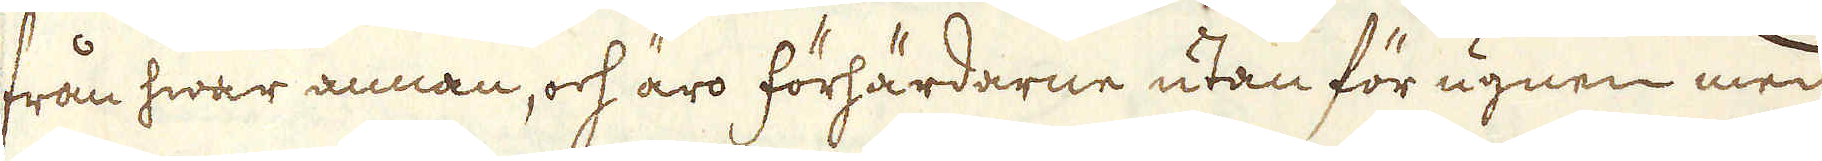från hwar annan, och äro förhärdarne utan för ugnen med
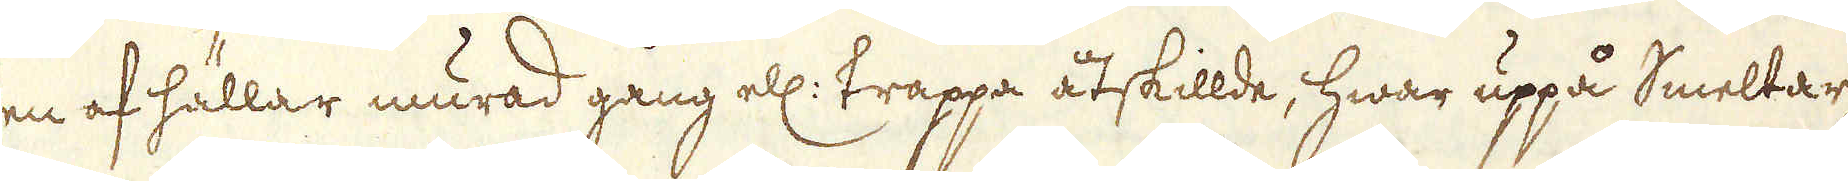en af hällar murad gång ell: trappa åtskillde, hwar uppå Smeltar-
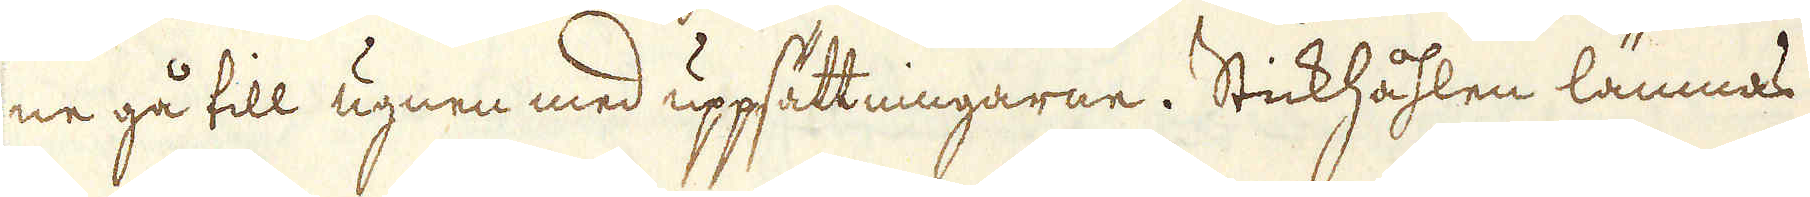ne gå till ugnen med uppsättningarne. Stickhåhlen lämnas
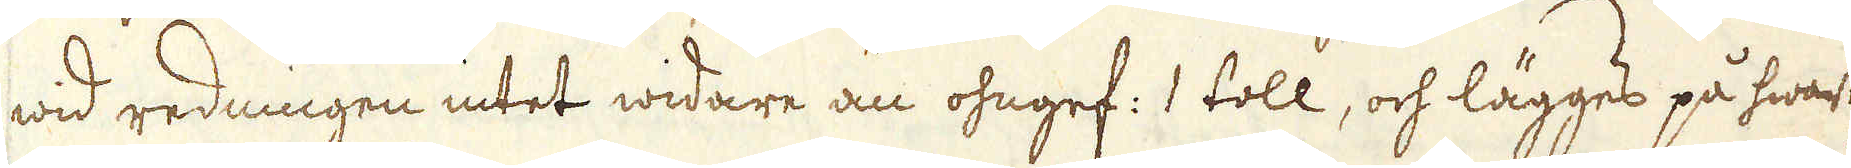wid redningen intet widare än ohngef: 1 toll, och lägges på hwart-
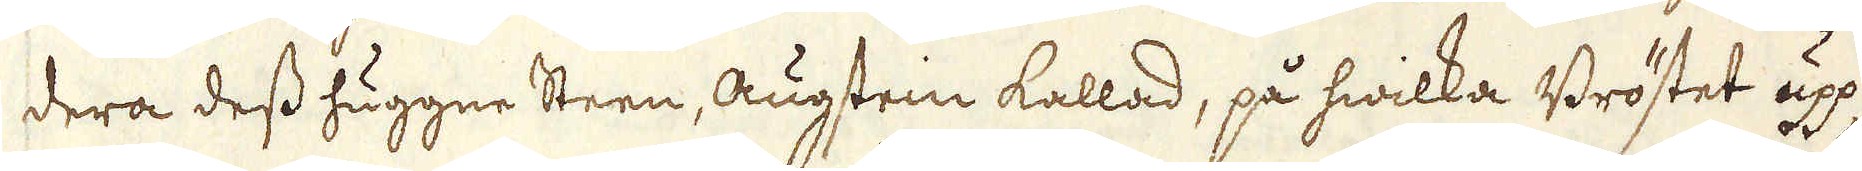dera dess huggne steen, augstein kallad, på hwilka Bröstet upp-
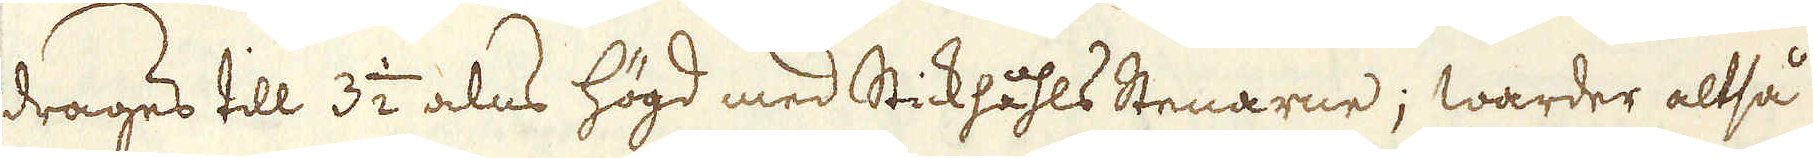drages till 3 1/2 alns högd med Stickhåhls Stenarne; warder altså
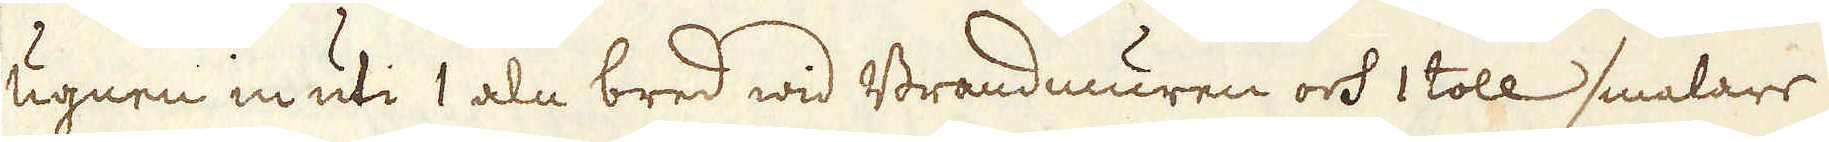ugnen in uti 1 aln bred wid Brandmuren och 1 toll smalare
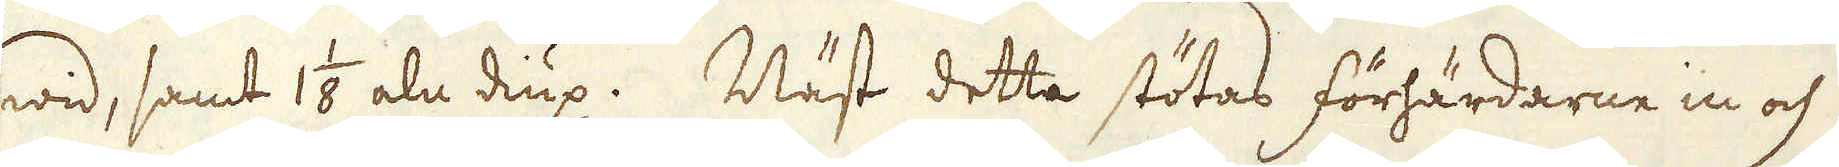wid, samt 1 1/8 aln diup. Näst detta stötas förhärdarne in och
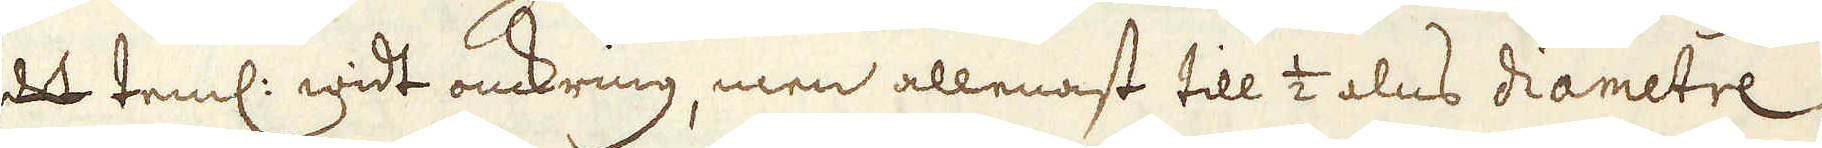det teml: widt omkring, men allenast till 1/2 alns diametre
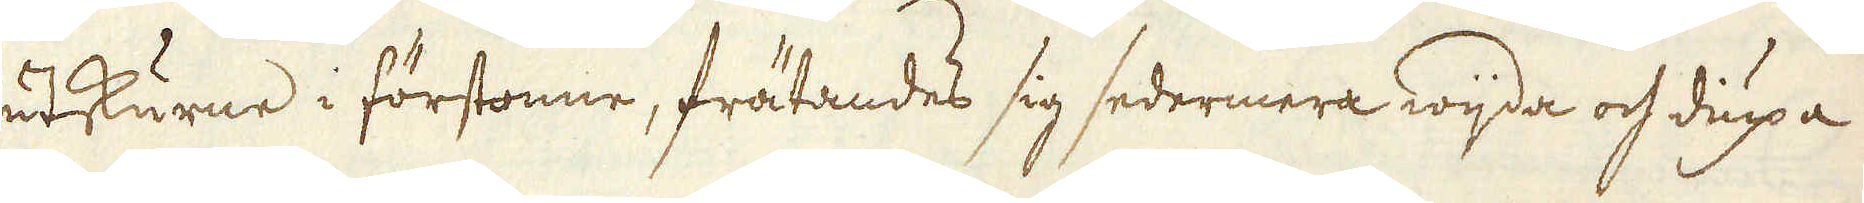utskurne i förstonne, frätandes sig sedermera wijda och diupa
